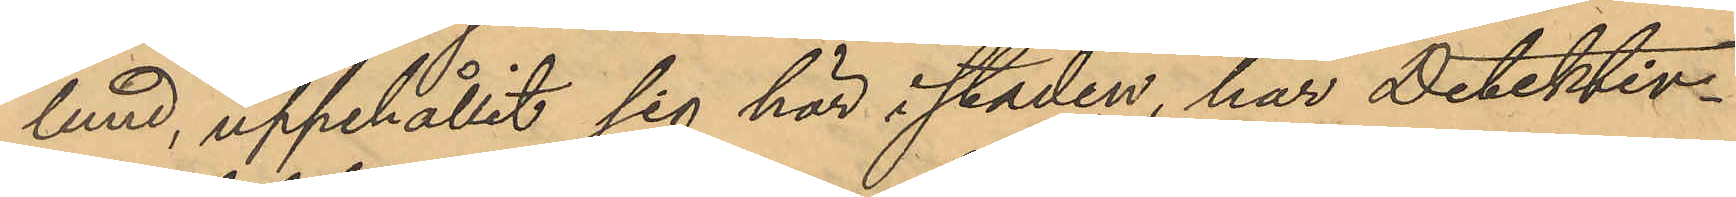lund, uppehållit sig här i staden, har Detektiv¬
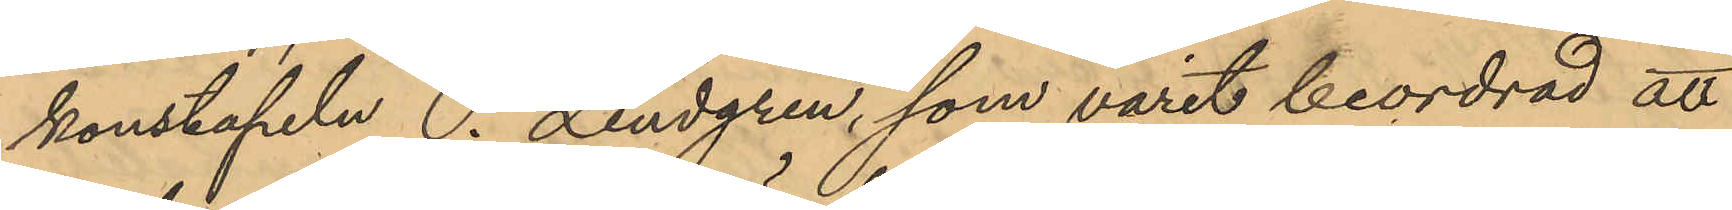konstapeln P. Lindgren, som varit beordrad att
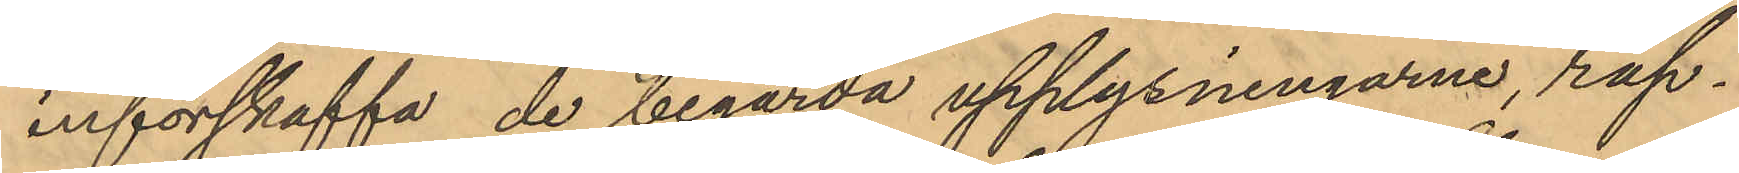införskaffa de begärda upplysningarne, rap¬
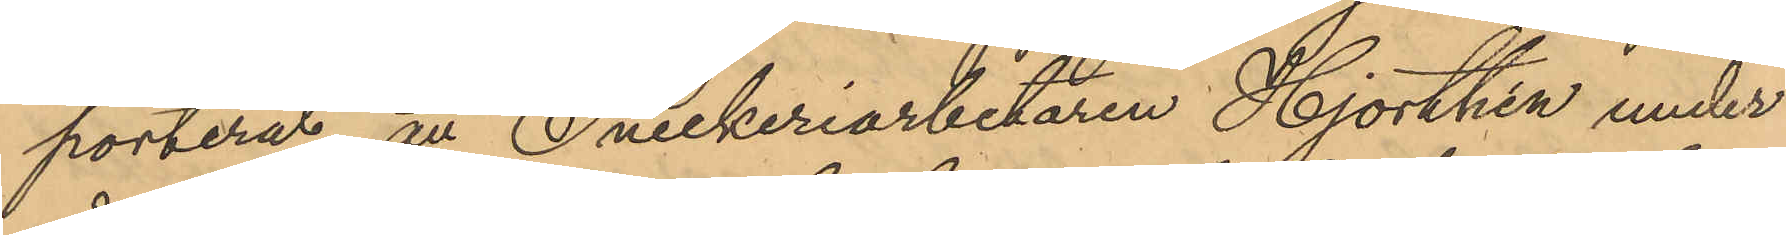porterat, att Snickeriarbetaren Hjorthén under
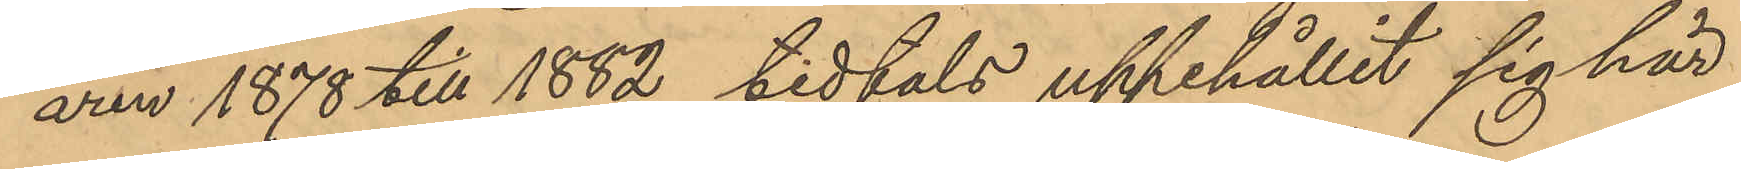åren 1878 till 1882 tidtals uppehållit sig här
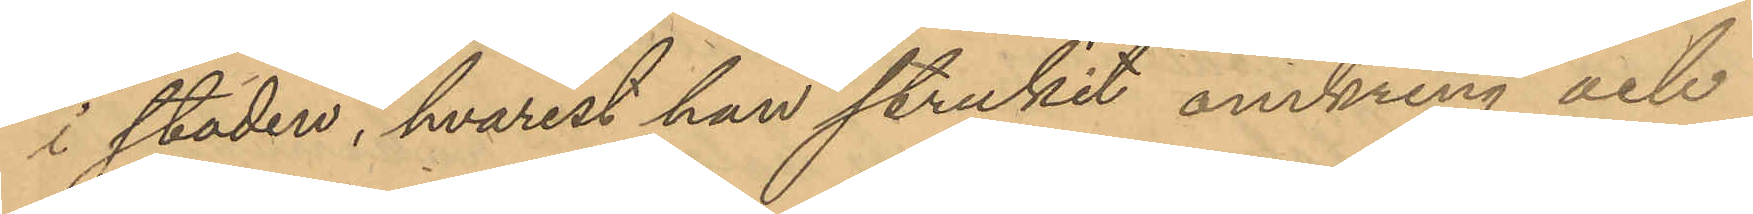i staden, hvarest han strukit omkring och
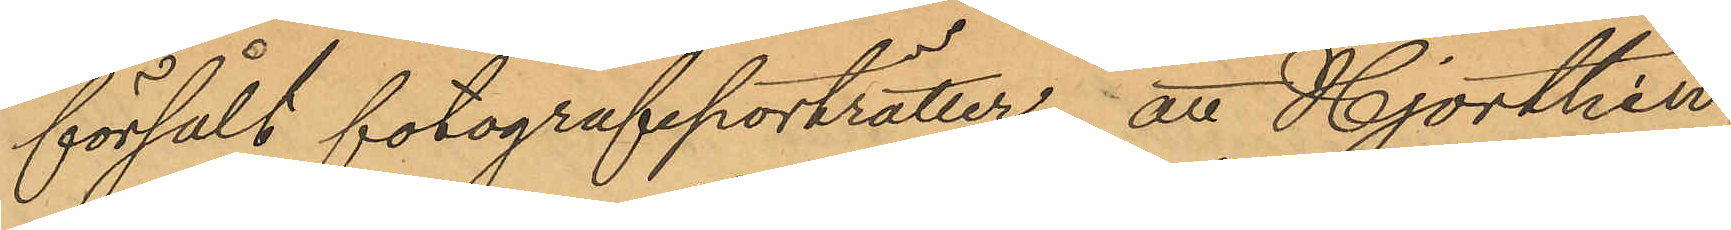försålt fotografiporträtter; att Hjorthén
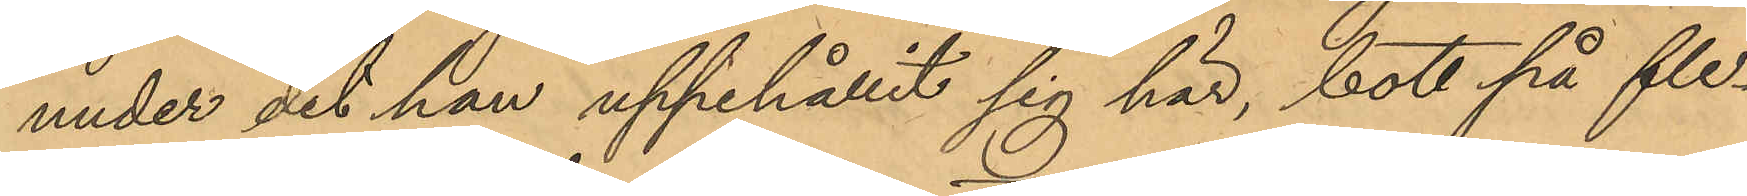under det han uppehållit sig här, bott på fle¬
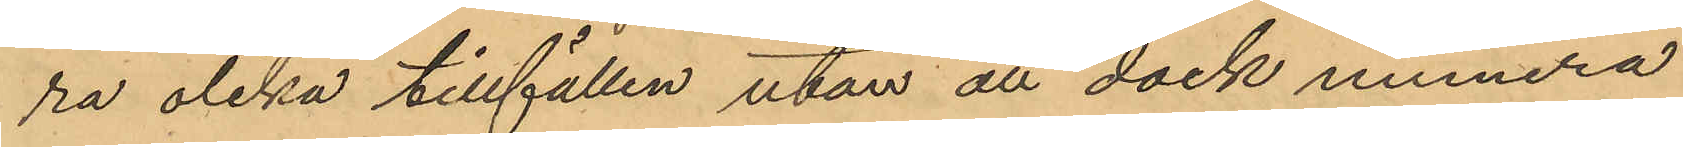ra olika tillfällen utan att dock numera
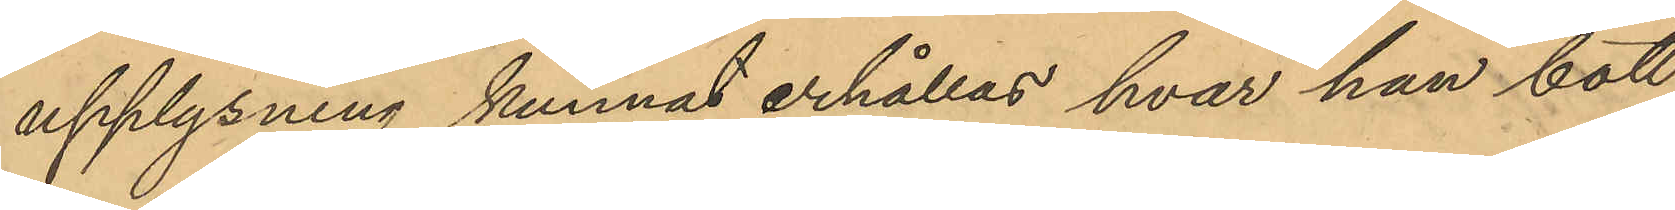upplysning kunnat erhållas, hvar han bott
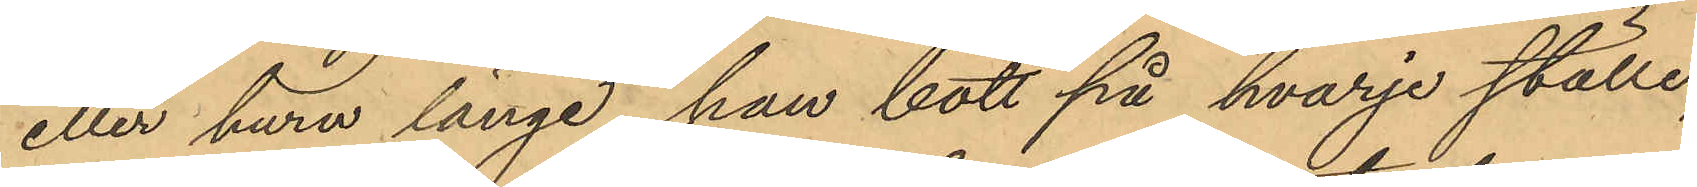eller huru länge han bott på hvarje ställe;
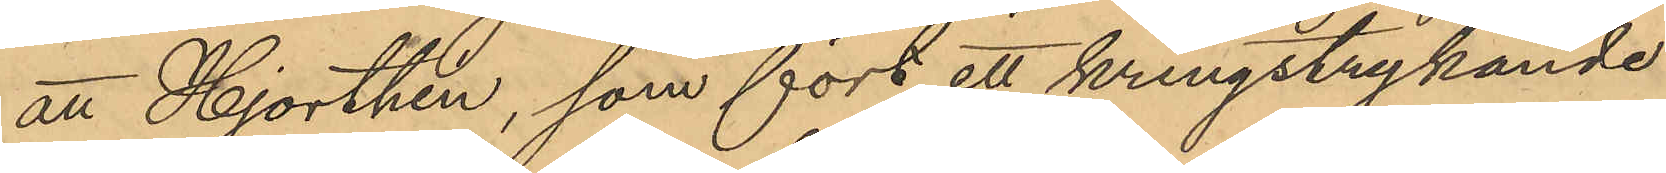att Hjorthen, som fört ett kringstrykande
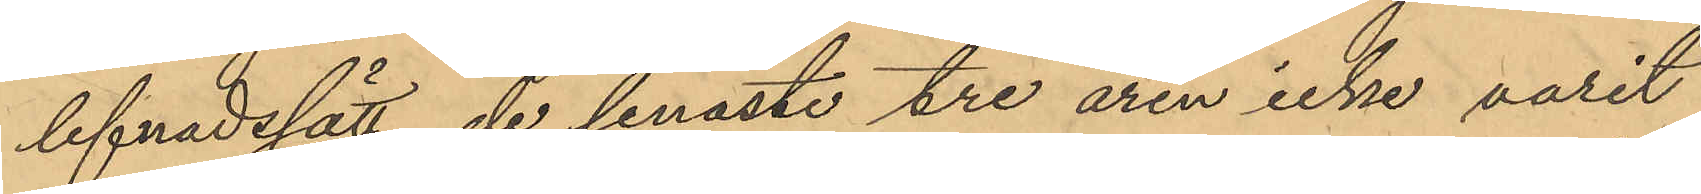lefnadssatt, de senaste tre åren icke varit
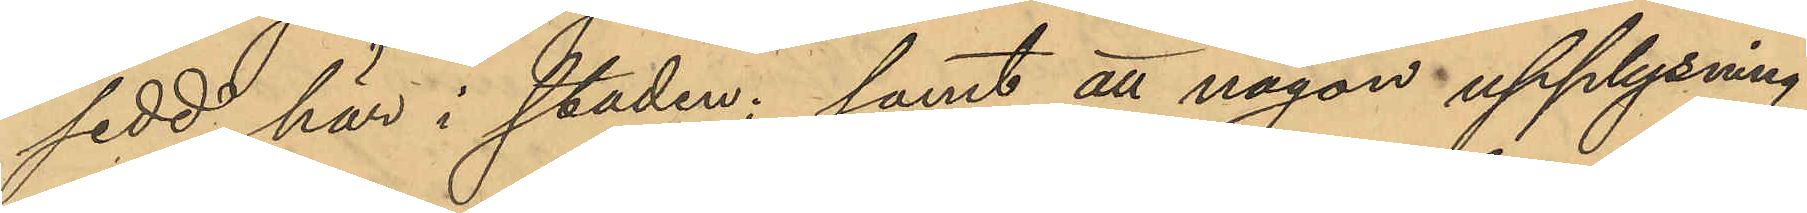sedd här i staden; samt att någon upplysning
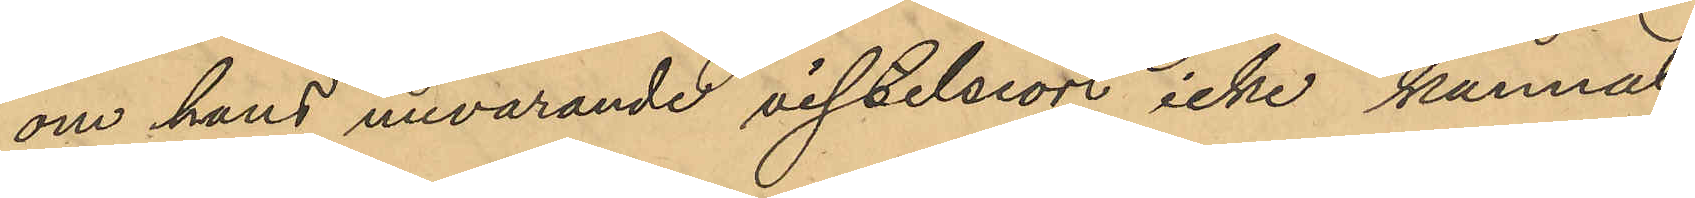om hans nuvarande visselsion icke kunnat
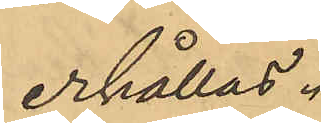erhållas.
